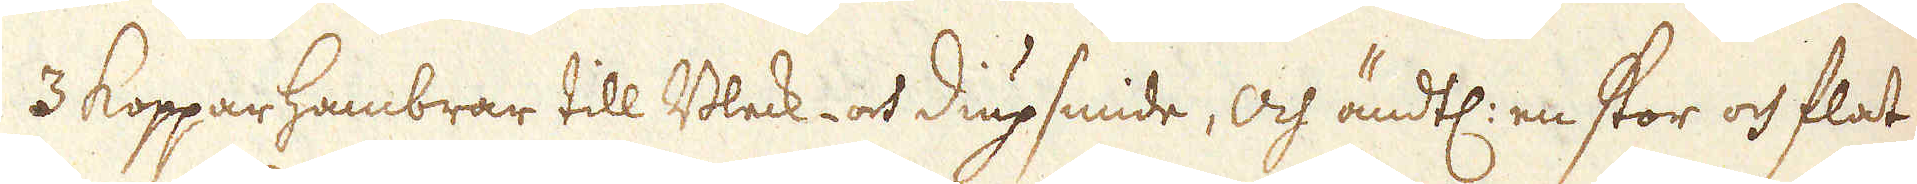3 Kopparhambrar till Bleck- och Diupsmide, och ändtl: en stor och flat
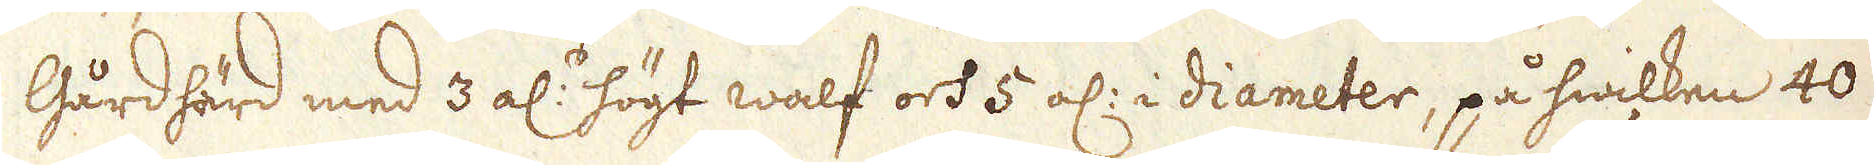Gårdhärd med 3 al:s högt walf och 5 al: i diameter, på hwilken 40
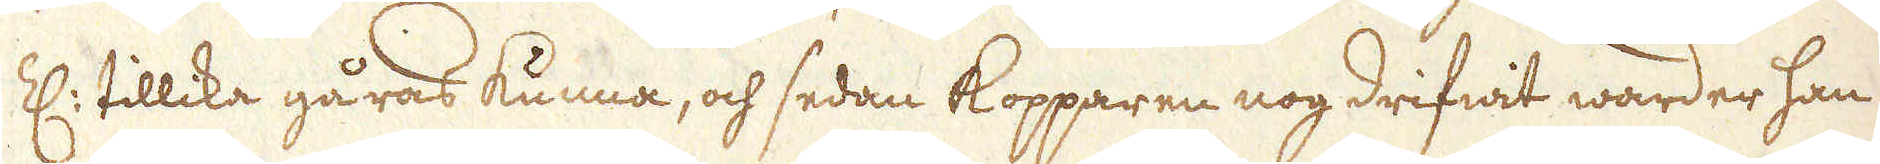Z: tillika gåras kunna, och sedan Kopparen nog drifwit warder han
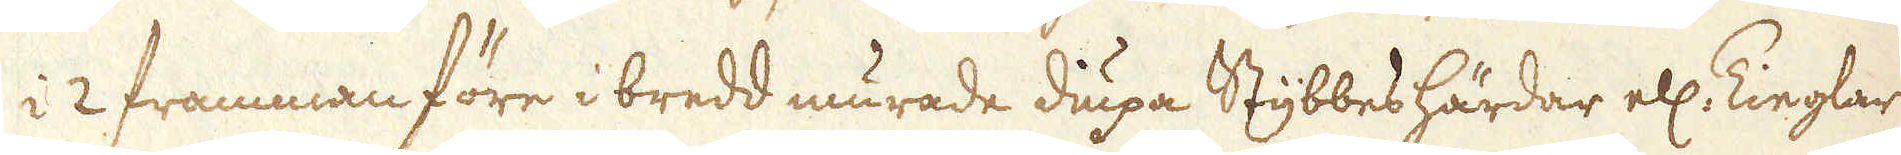i 2 framman före i bredd murade diupa Stybbes härdar ell: Tieglar
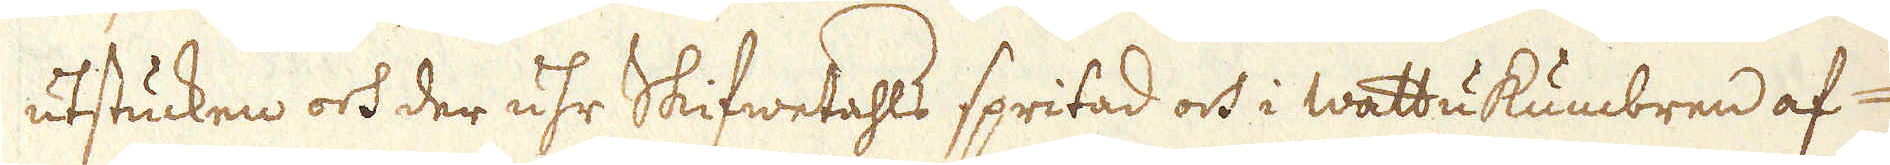utstucken och der uhr Skifwetahls spritad och i wattukumbren af-
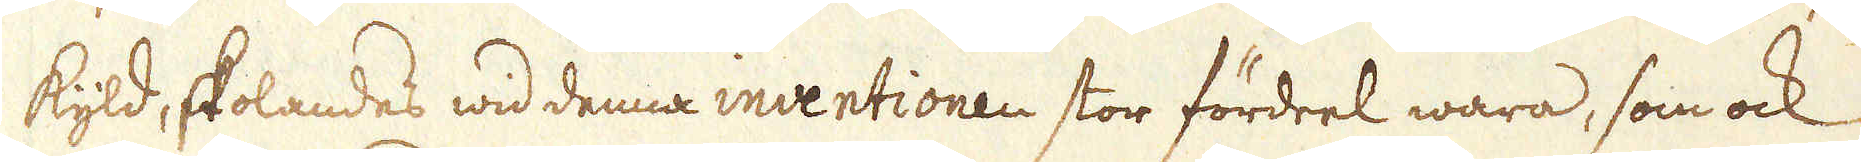kyld, skolandes wid denna inventionen stor fördeel wara, som ock
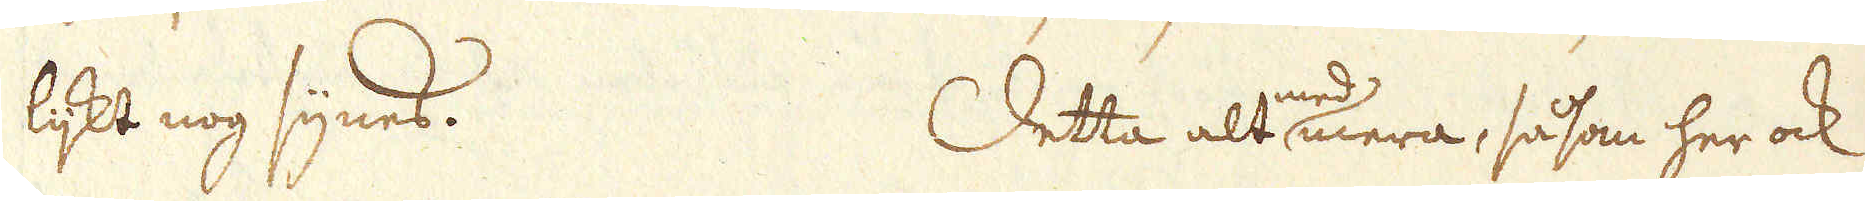lijkt nog synes. Detta alt med mera, såsom her ock
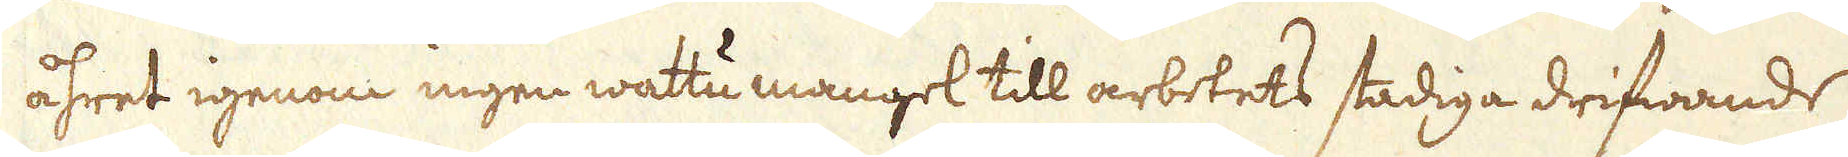åhret igenom ingen wattu mangel till arbetets stadiga drifwande
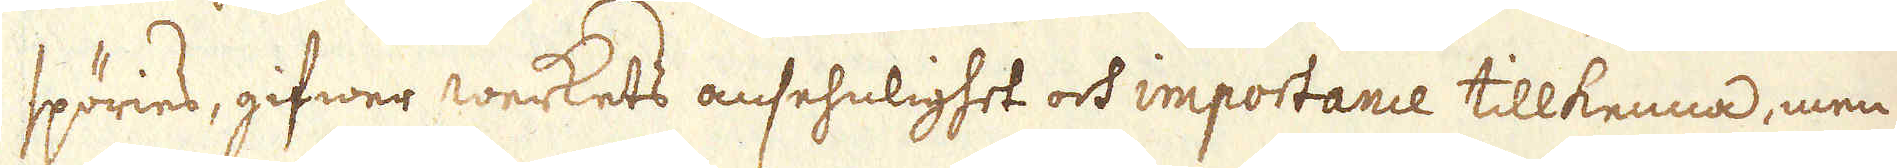spöries, gifwer werkets ansehnlighet och importance tillkenna, men
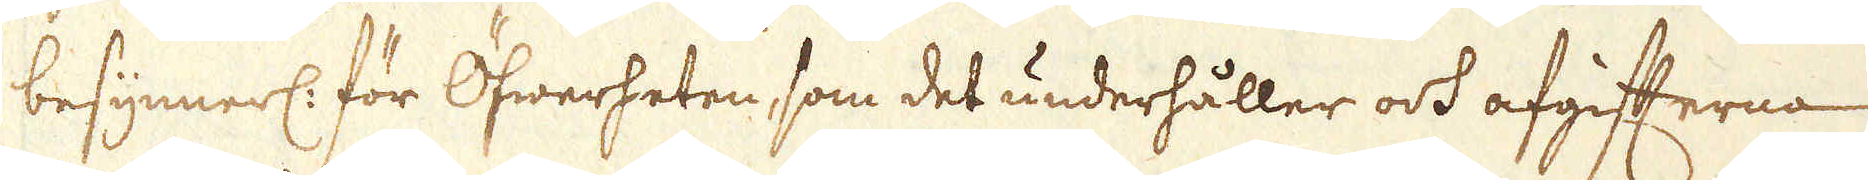besynnerl: för Öfwerheten, som det underhåller och afgifterna
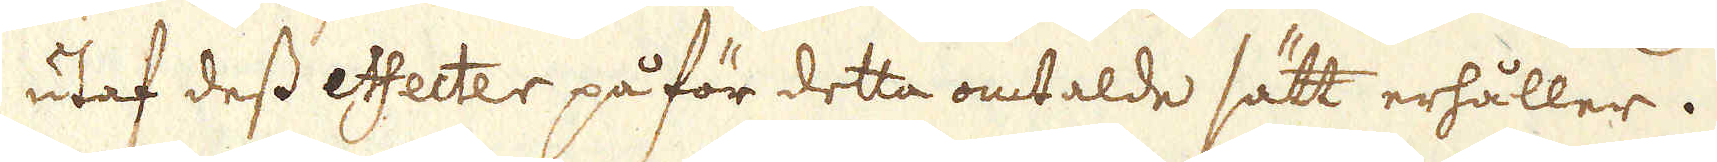utaf dess effecter på för detta omtalde sätt erhåller.
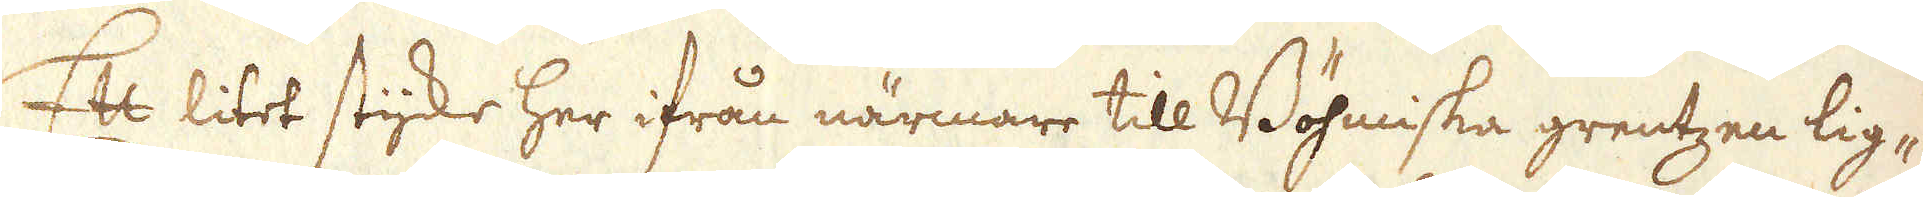Ett litet stycke her ifrån närmare till Böhmiska grentzen lig-
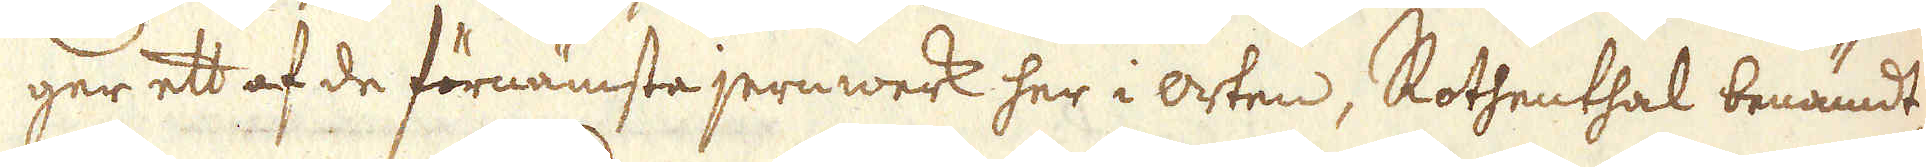ger ett af de förnämsta jernwerk her i orten, Rothenthal benämdt,
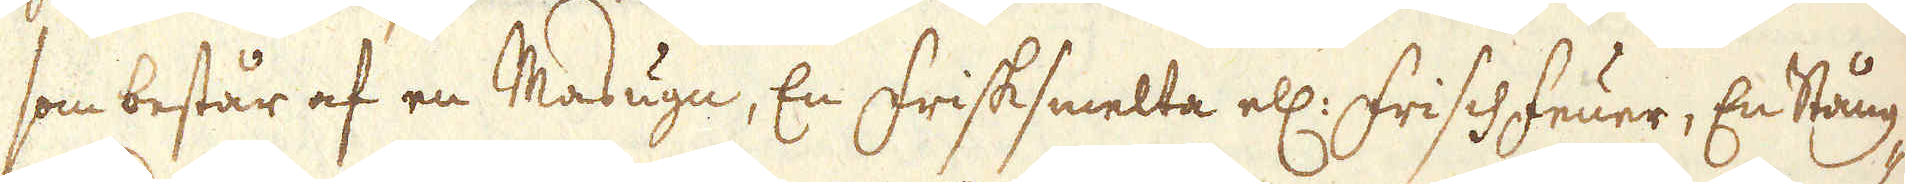som består af en Masugn, En Frisksmelta ell: Frischfeuer, En Stång-
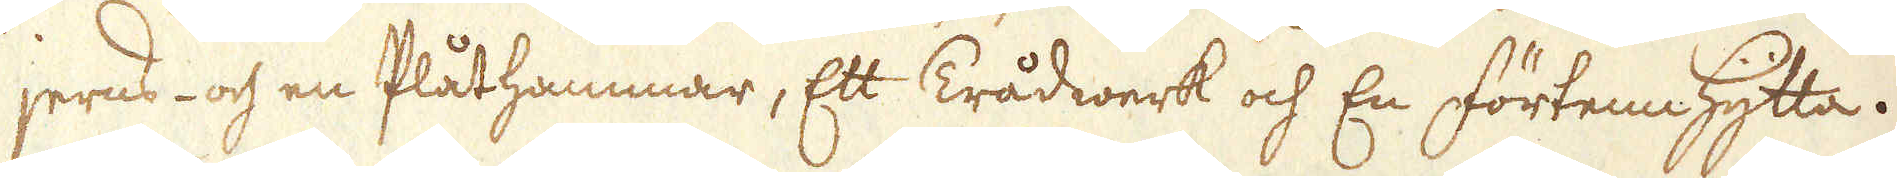jerns- och en Plåthammar, Ett Trådwerk och En Förtenn Hytta.
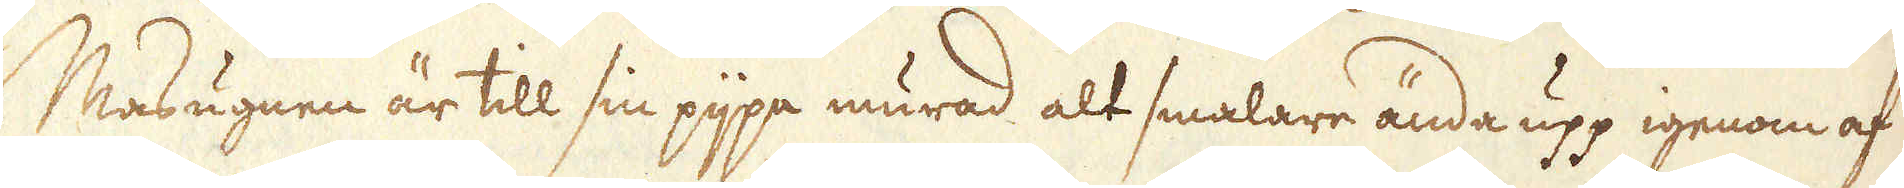Masugnen är till sin pijpa murad alt smalare ända upp igenom af
